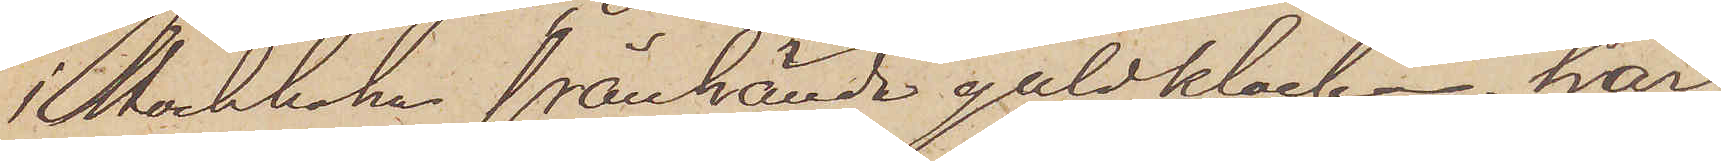i Stockholm frånhända guldklockan har,
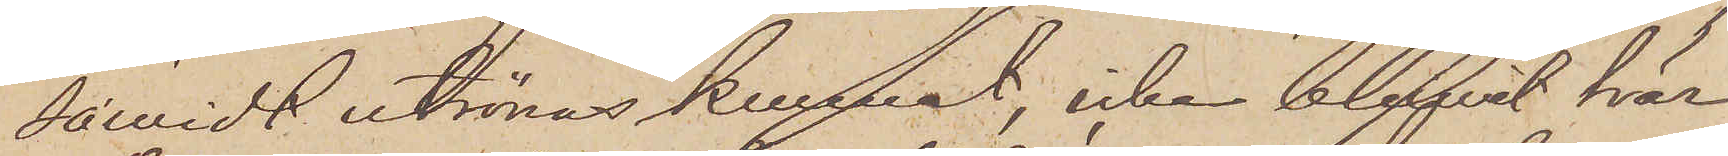såwidt utrönas kunnat, icke blifwit här
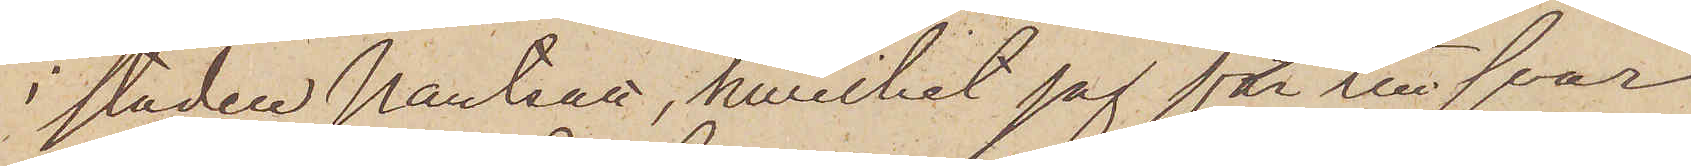i staden pantsatt, hvilket jag får till svar
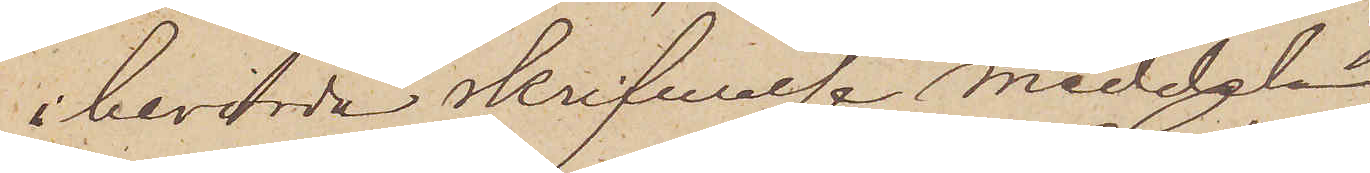å berörde skrifvelse meddela.
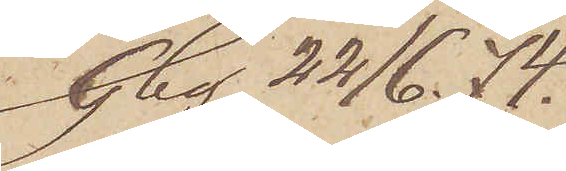Gbg 22/6  74.
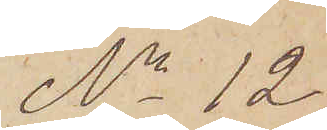No 12.
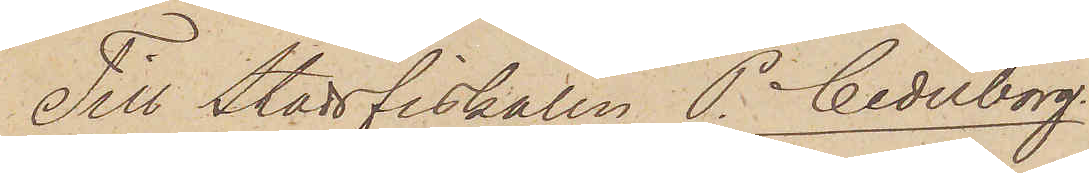Till Stadsfiskalen P. Cederborg.
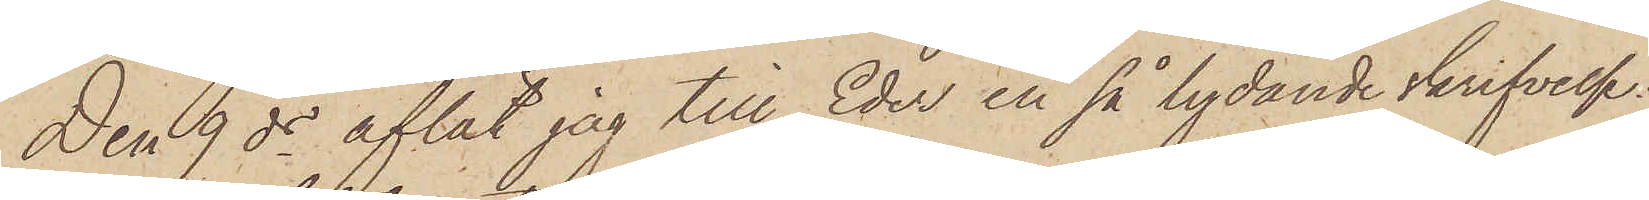Den 9 ds aflät jag till Eder en så lydande skrifvelse:
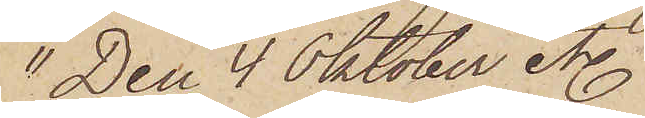"Den 4 Oktober etc. = =
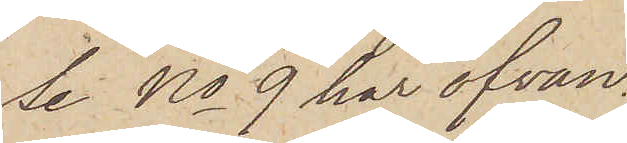Se No 9 har ofvan.
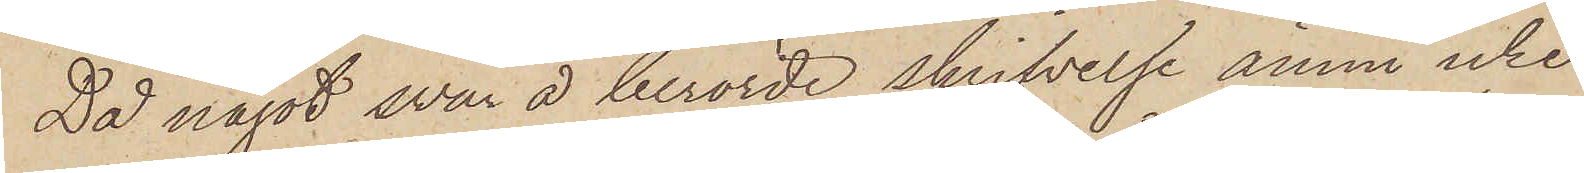Då något svar å berörde skrifvelse ännu icke
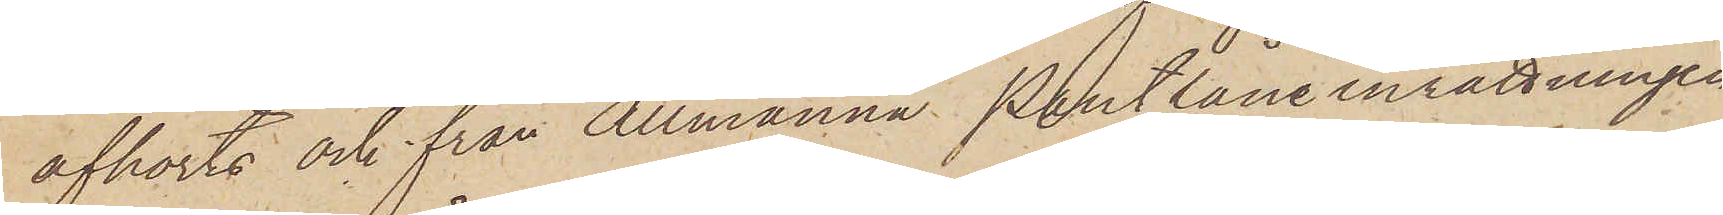afhörts och från Allmänna Pantlåneinrättningen
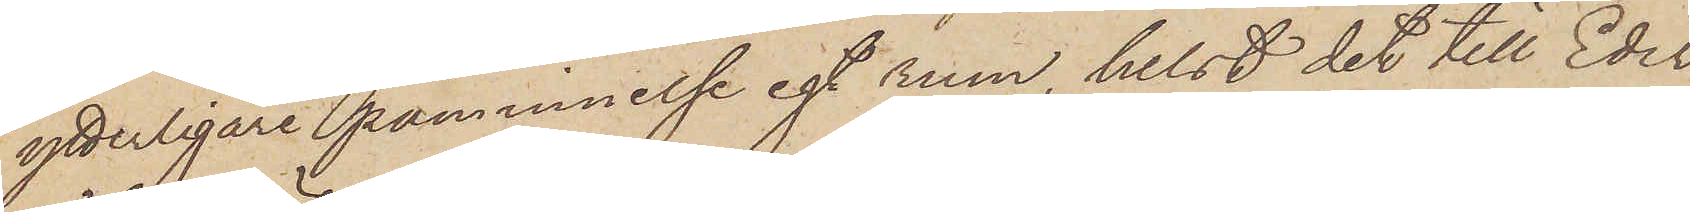ytterligare påminnelse egt rum, helst det till Eder
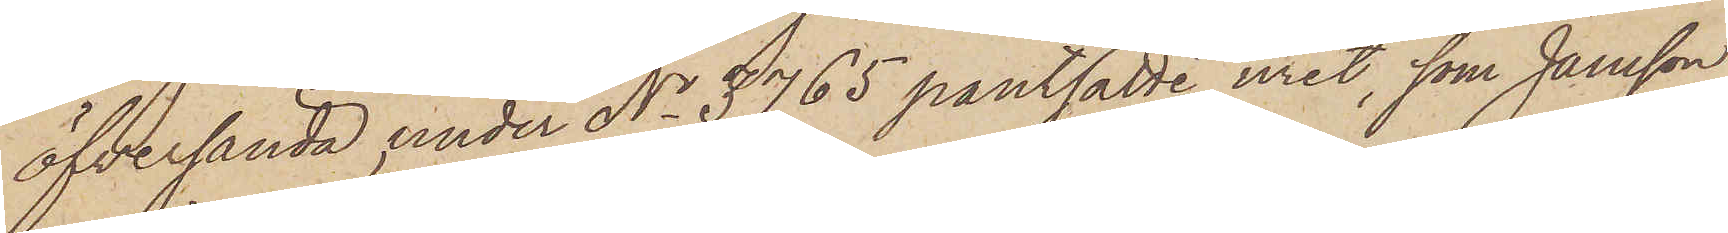öfversända under No 3765 pantsatte uret, som Jansson
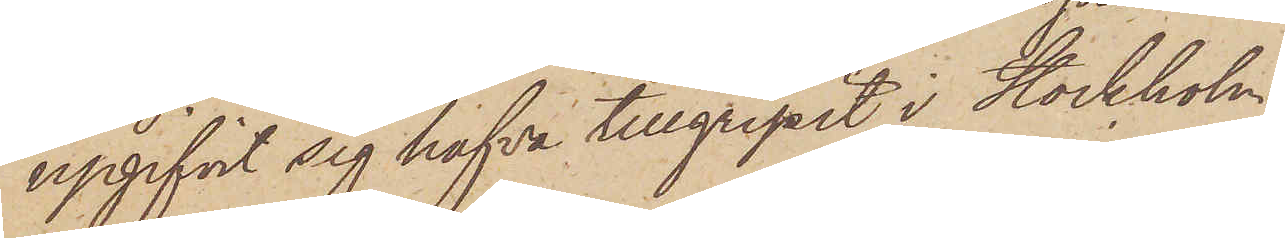upgifvit sig hafva tillgripit i Stockholm,
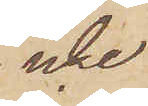icke
